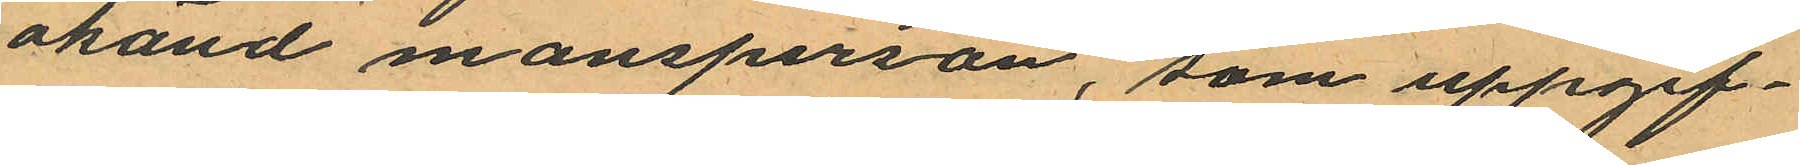okänd mansperson, som uppgif¬
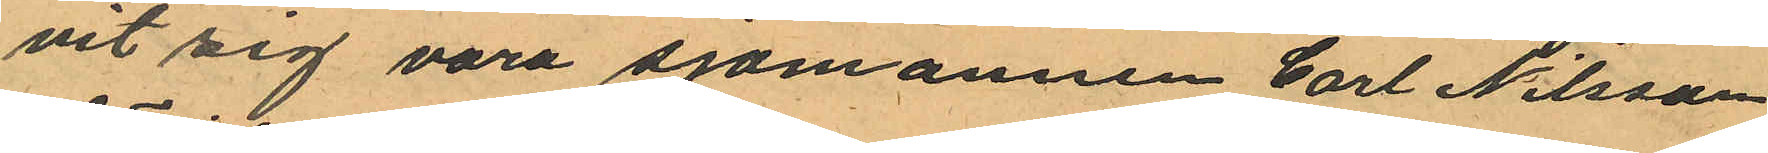vit sig vara sjömannen Carl Nilsson
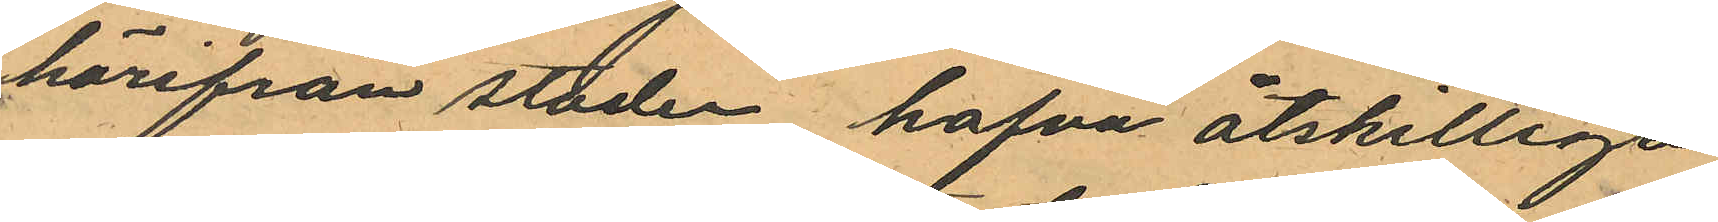härifrån staden hafva åtskilliga
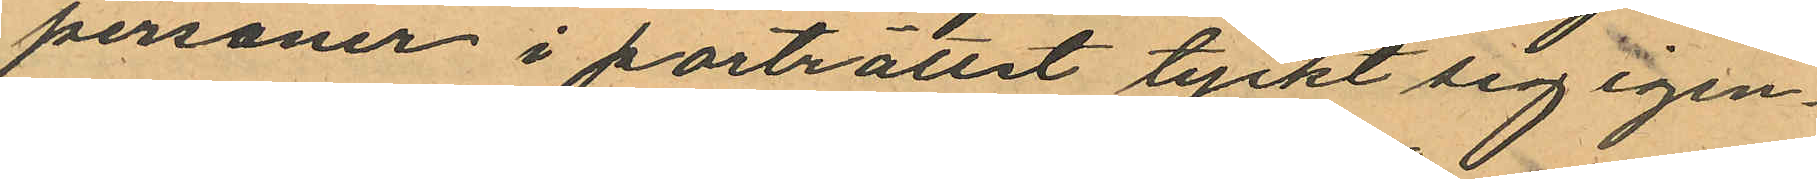personer i porträttet tyckt sig igen¬
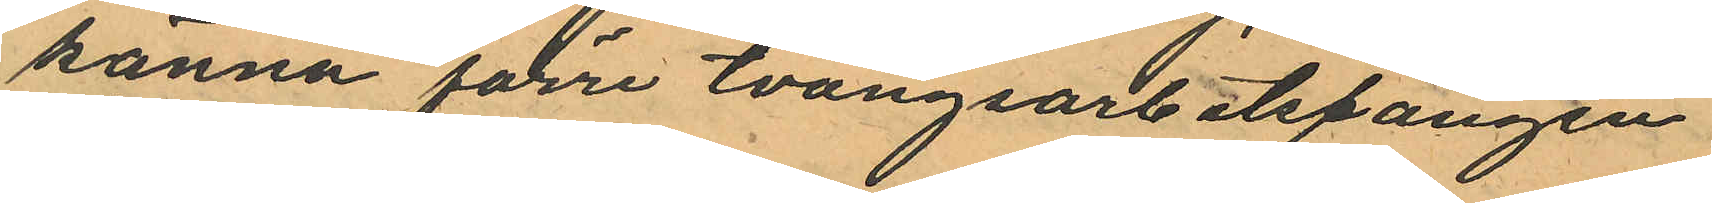känna förre tvångsarbetsfången
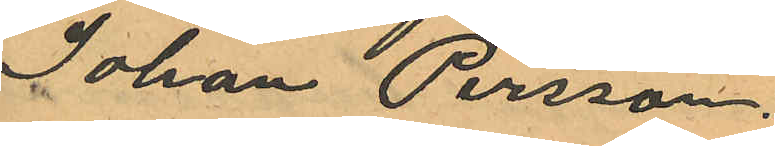Johan Persson.
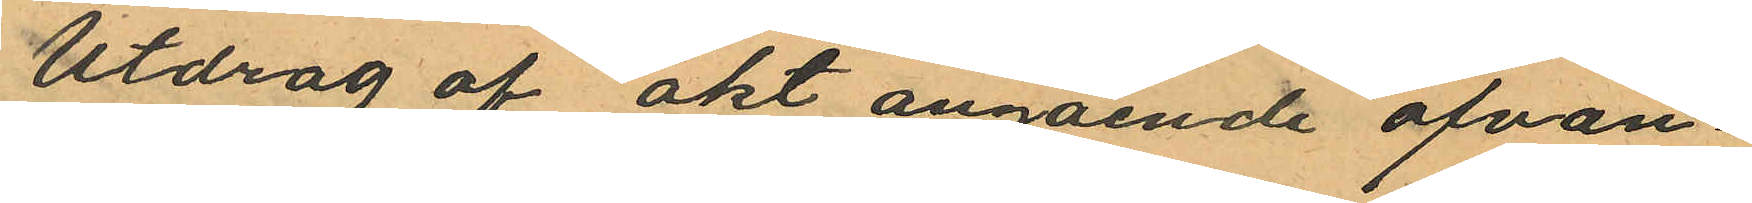Utdrag af akt angående ofvan¬
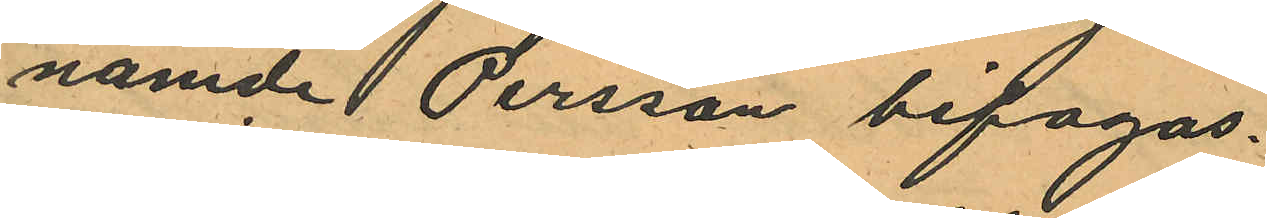namde Persson bifogas.
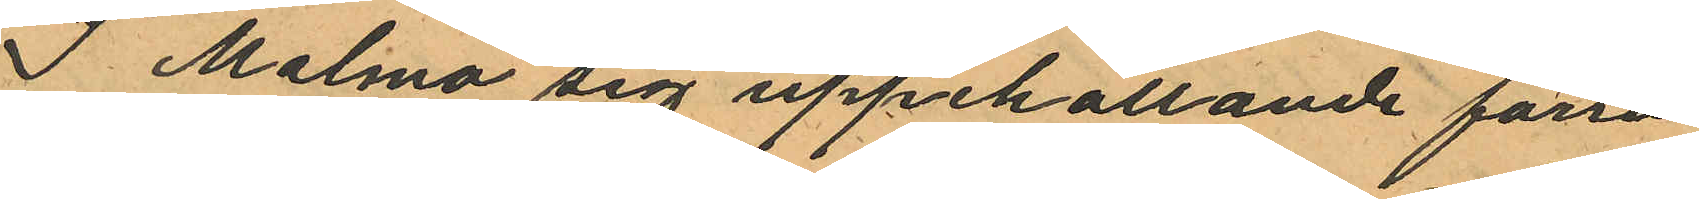I Malmö sig uppehållande förra
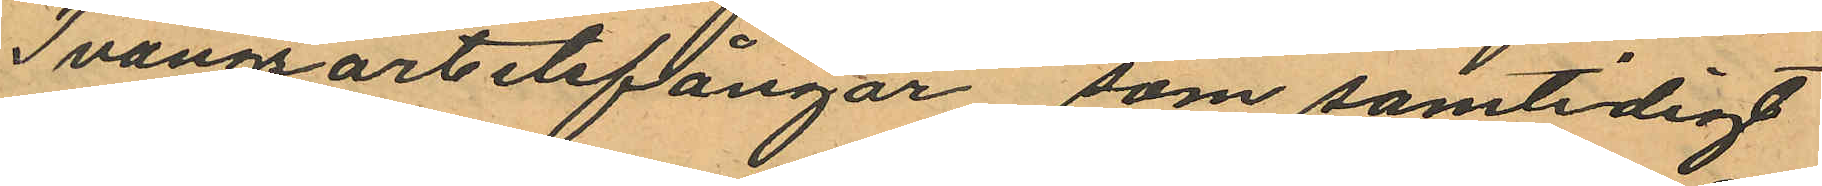Tvångsarbetefångar, som samtidigt
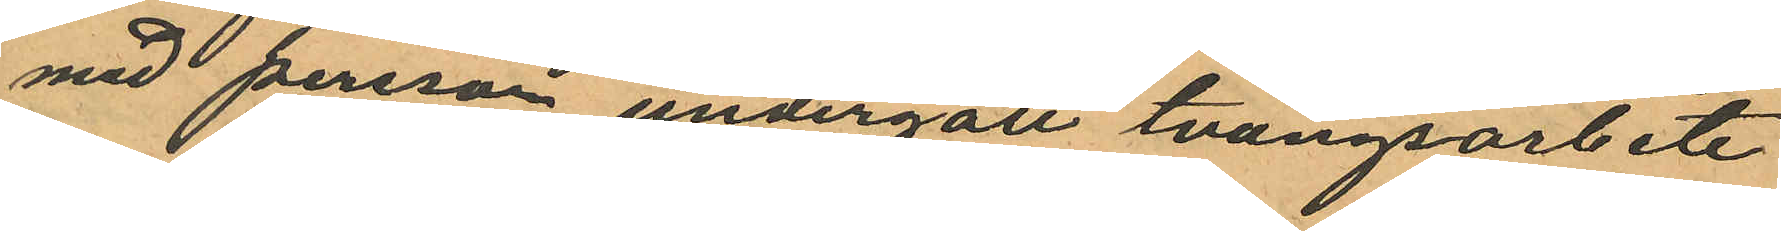med persson undergått tvångsarbete
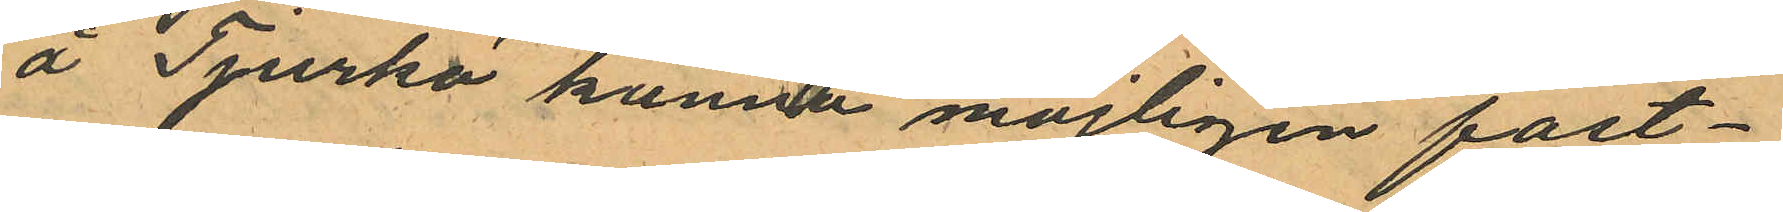å Tjurkö kunna möjligen fast¬
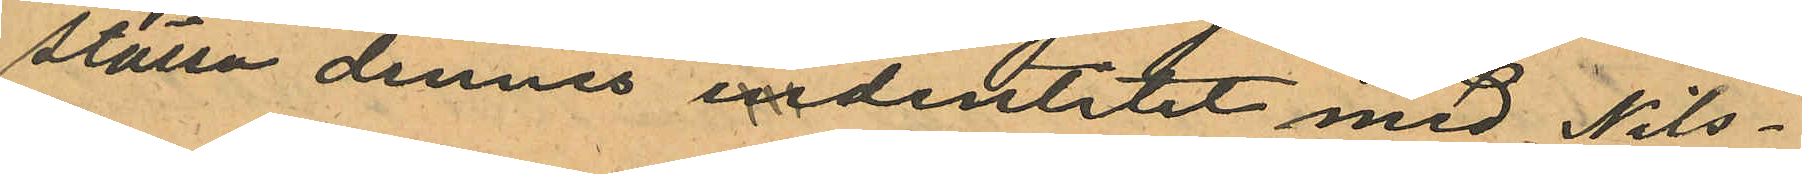ställa dennes indentitit med Nils¬
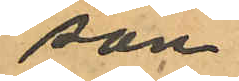son
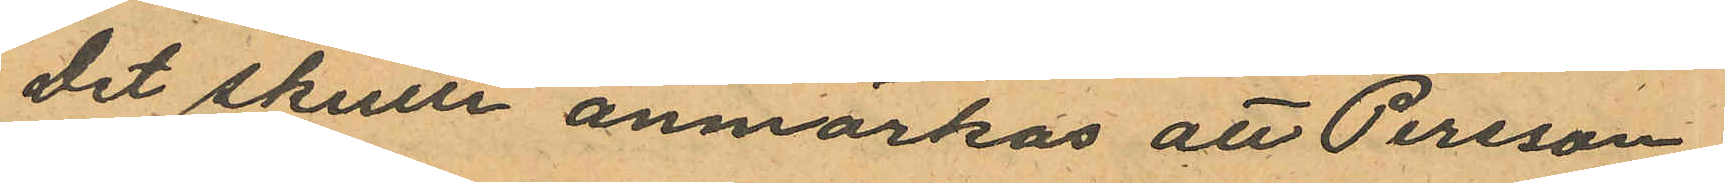Det skulle anmärkas att Persson
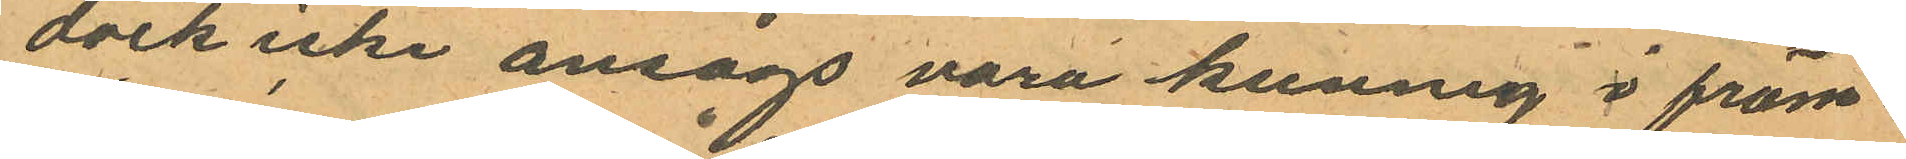dock icke ansågs vara kunnig i främ¬
